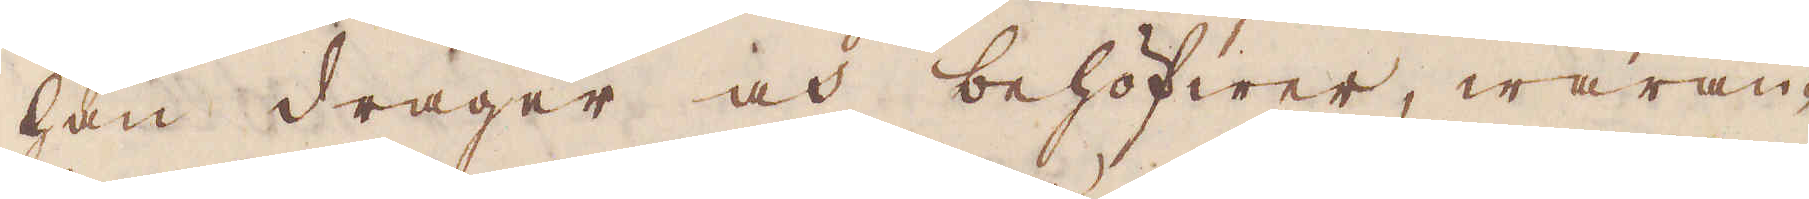han drager och behöfwer, waran-
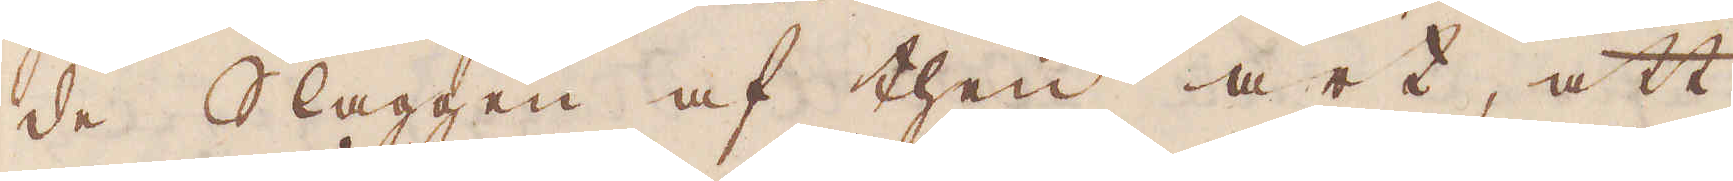de Slaggen af then art, att
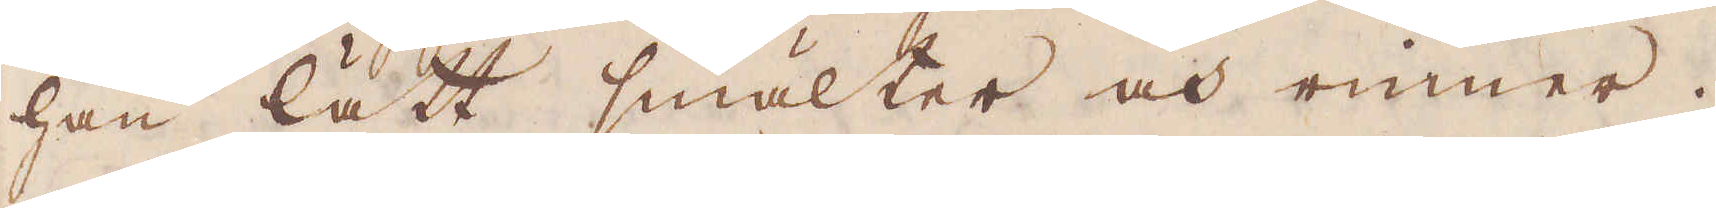han lätt smälter och rinner
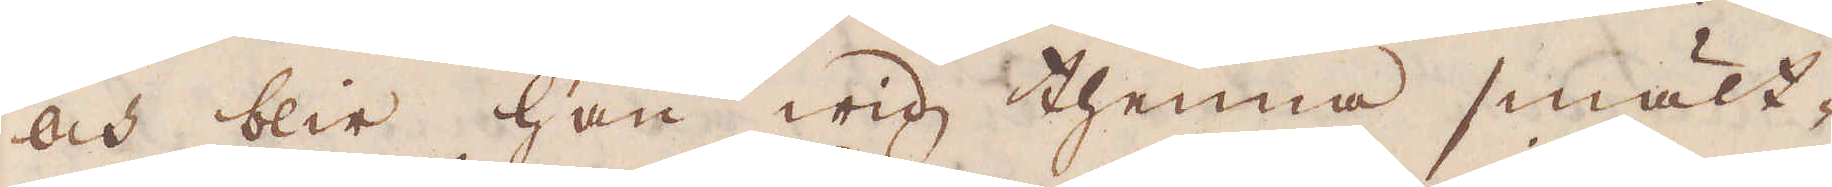och blir han wid thenna smält-
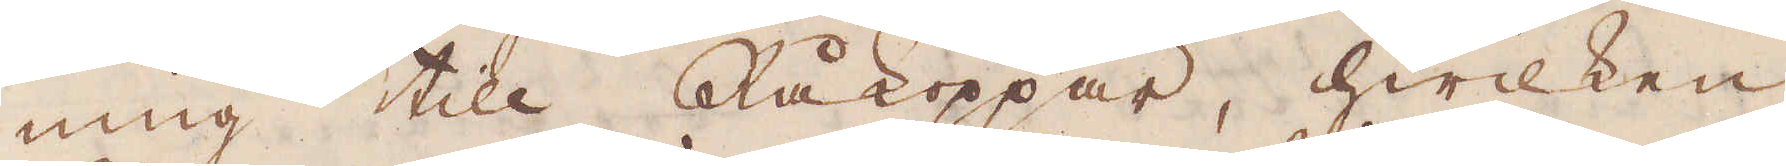ning till Råkoppar, hwilken
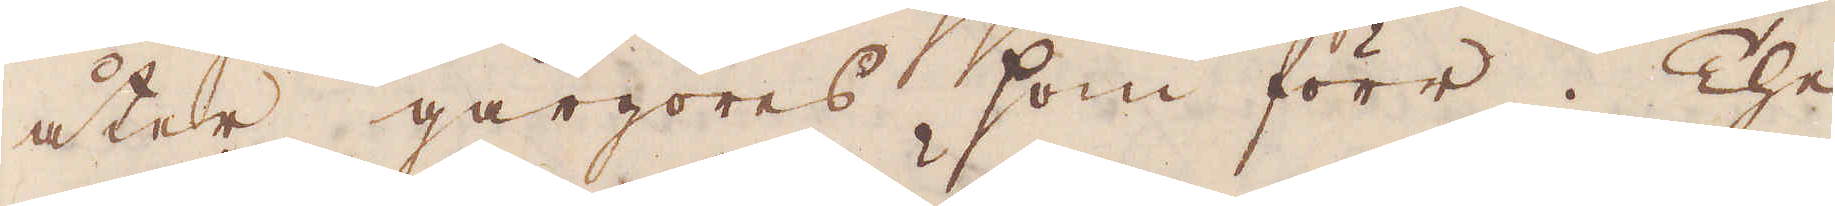åter gårgöres som förr. The
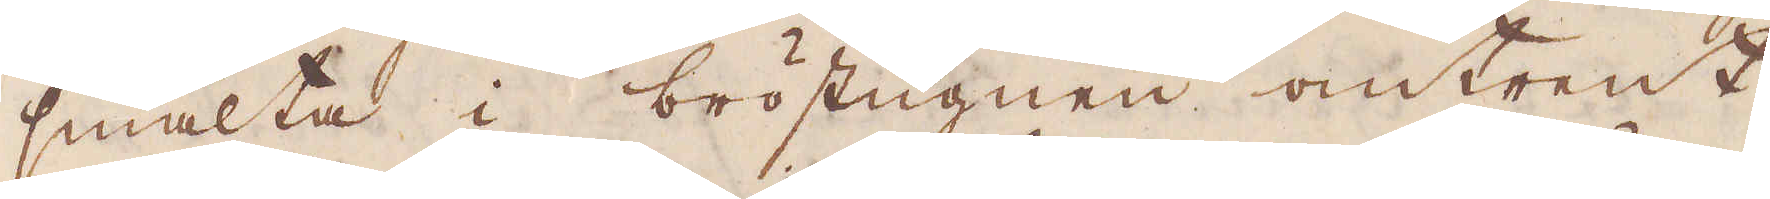smälta i bröstugnen omtrent
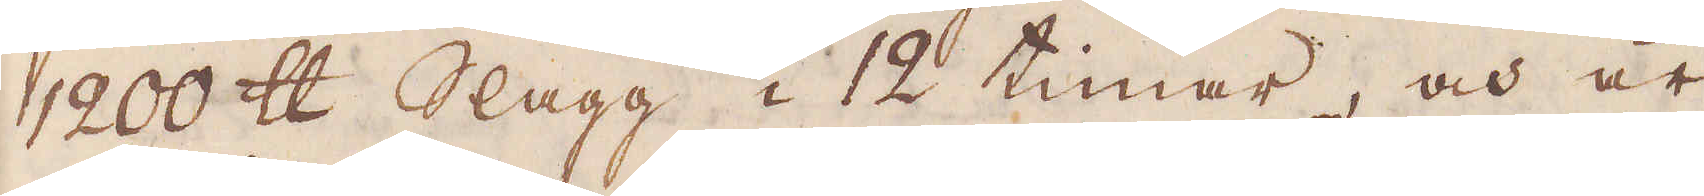1200 skålpund Slagg i 12 timar, och är
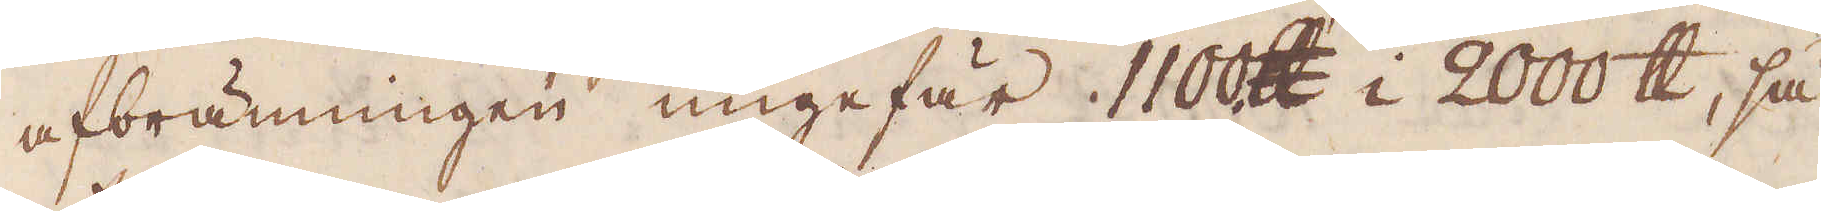afbränningen ungefär 1100 skålpund i 2000 skålpund, så
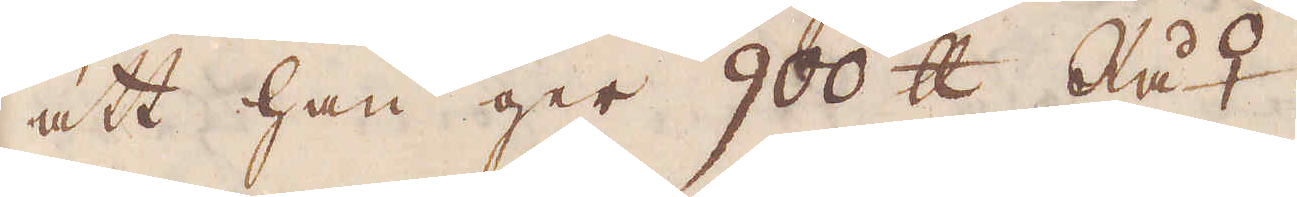att han ger 900 skålpund Rå♀.
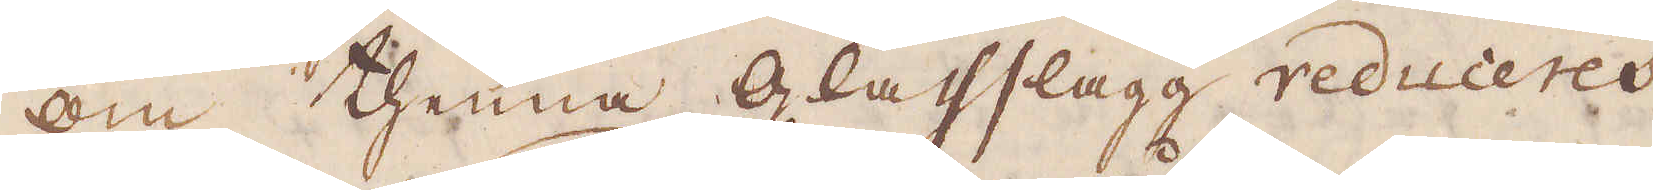Om thenna Glass slagg reduceres
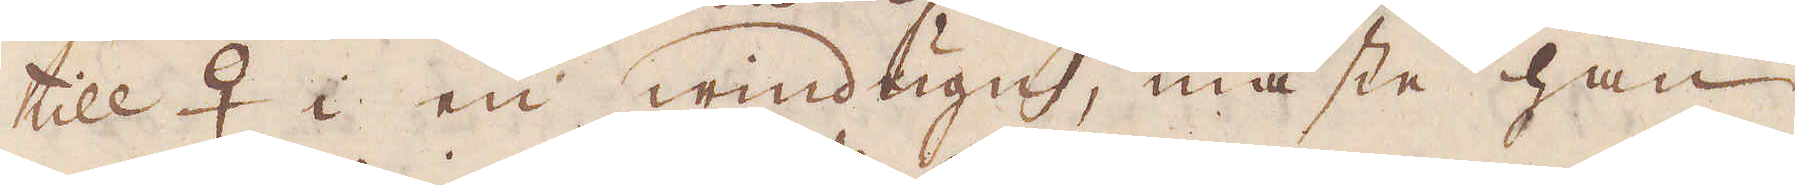till ♀ i en windugn, måste han
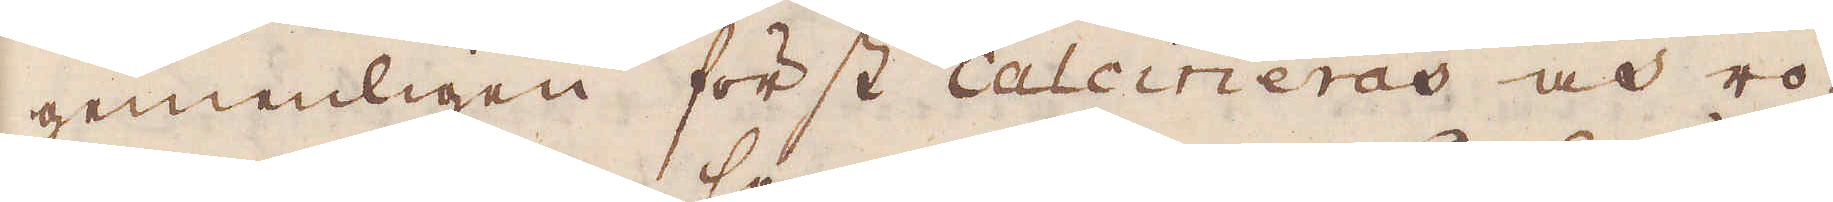gemenligen först calcineras och ro-
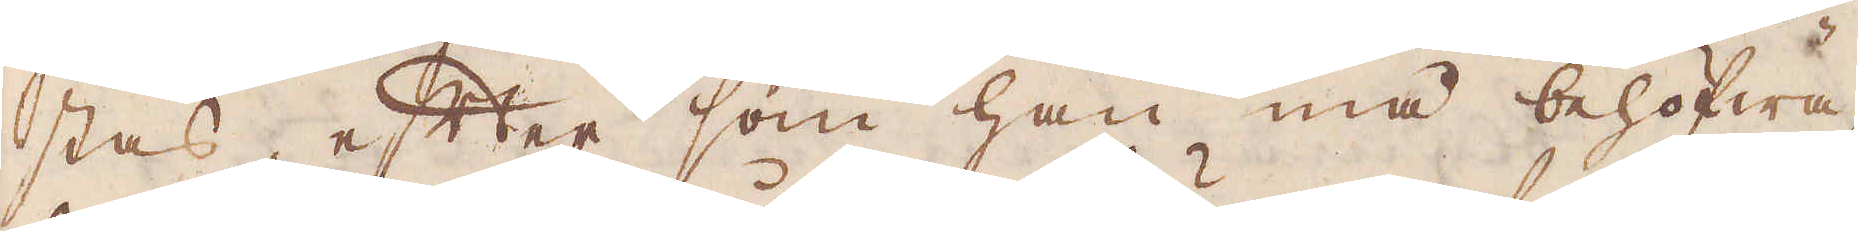stas, efter som han må behöfwa,
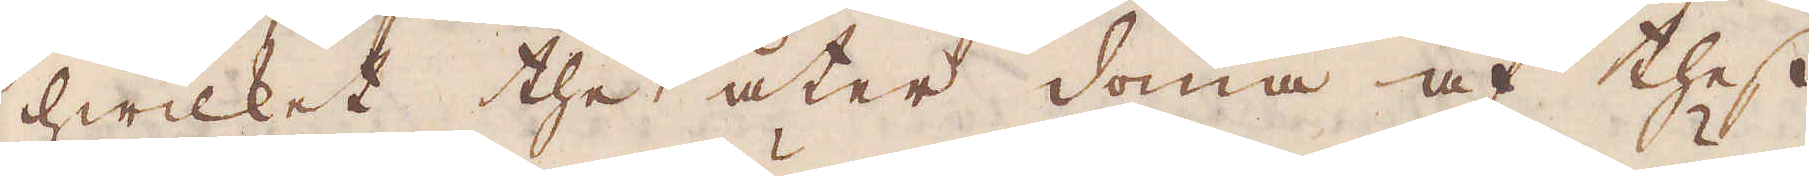hwilket the åter döma af thes
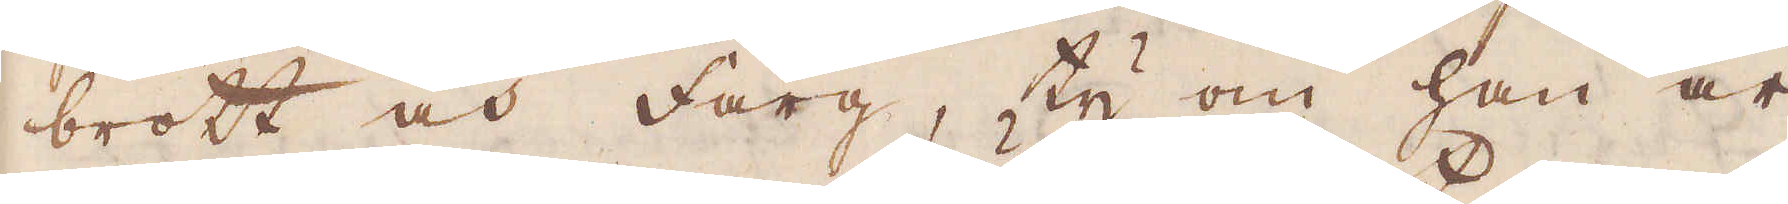brott och färg, ty om han är
